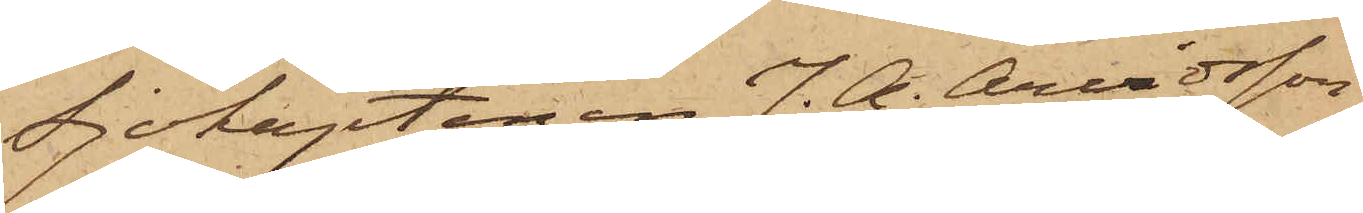Sjökaptenen J. A. Arvidsson
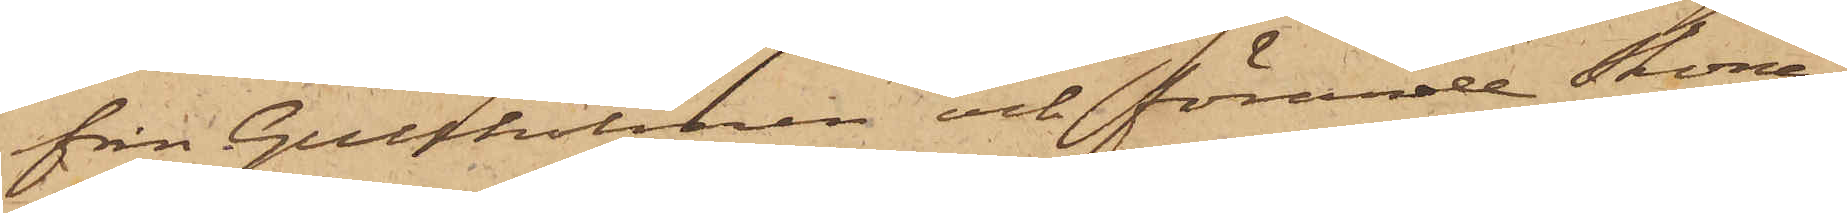från Gullholmen och förande Skona¬
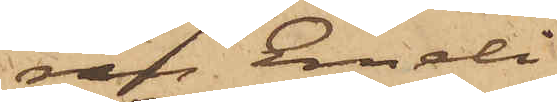ren Emeli
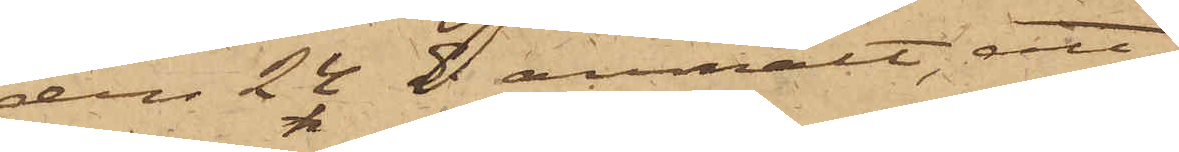den 24 ds anmält, att
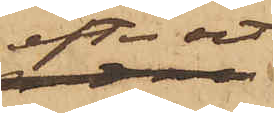efter att
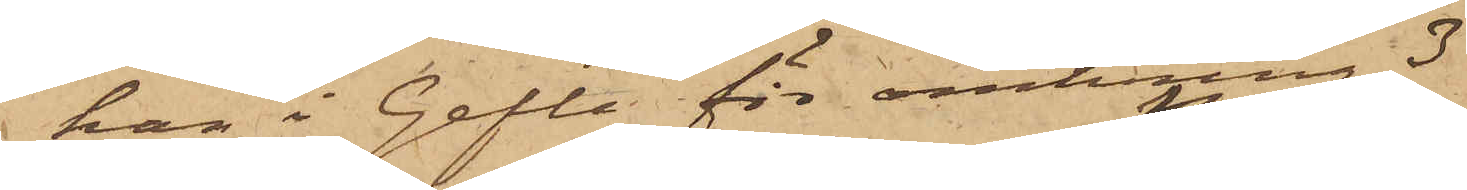han i Gefle för omkring 3
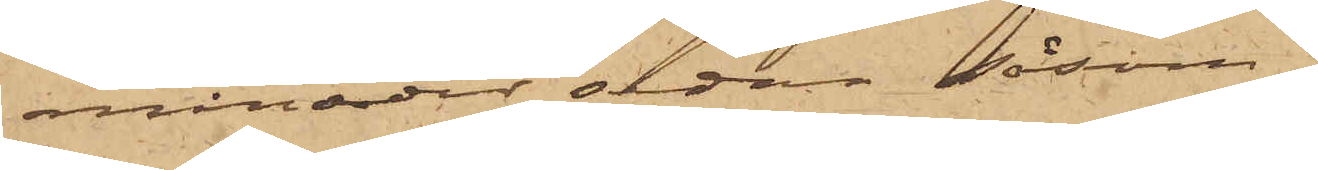månader sedan såsom
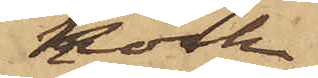Kock
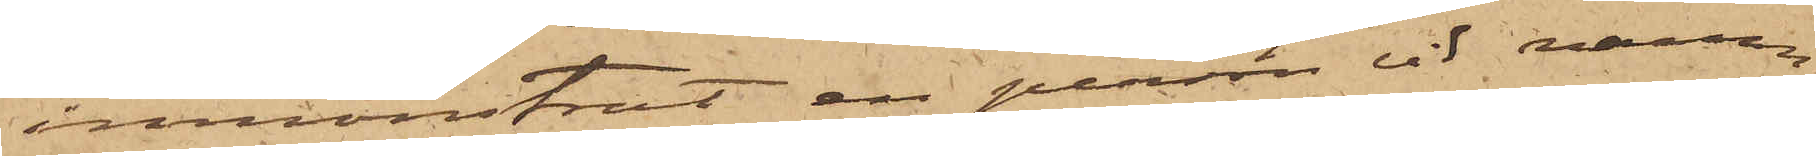inmönstrat en person vid namn
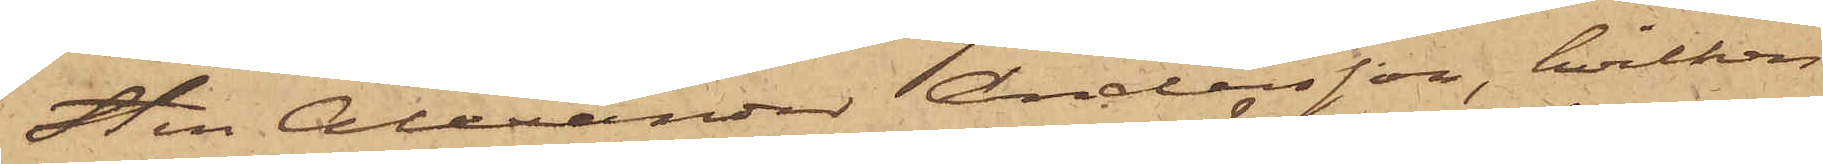Sten Alexander Andersson, hvilken
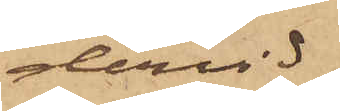dervid
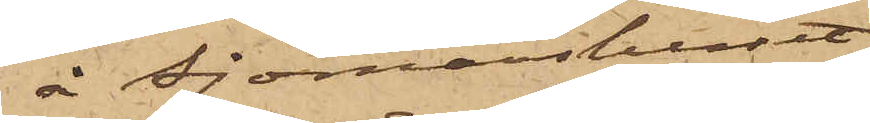å Sjömanshuset
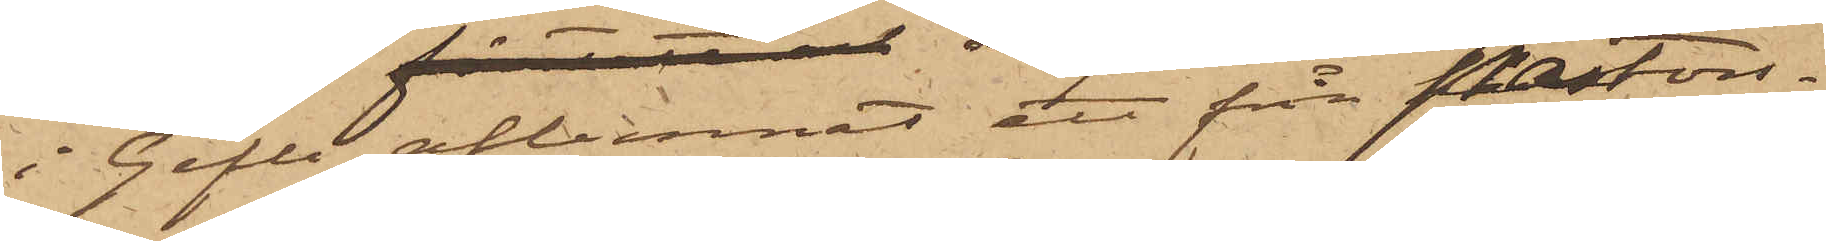i Gefle aflemnat ett från Pastors¬
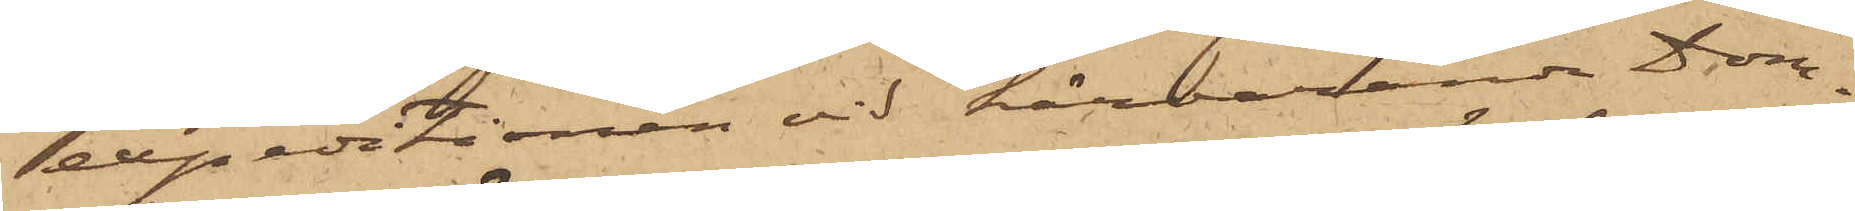expeditionen vid härvarande Dom¬
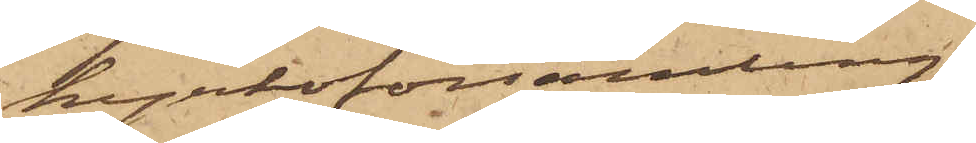kyrkoförsamling
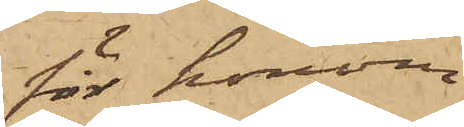för honom
